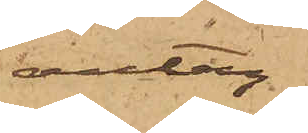antag¬
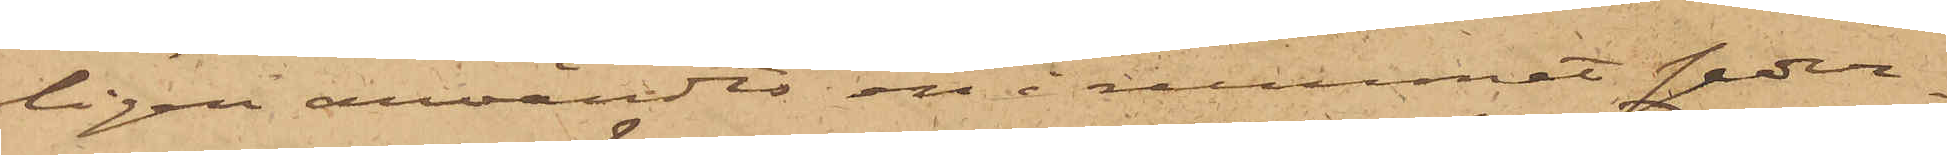ligen användts en i rummet seder¬
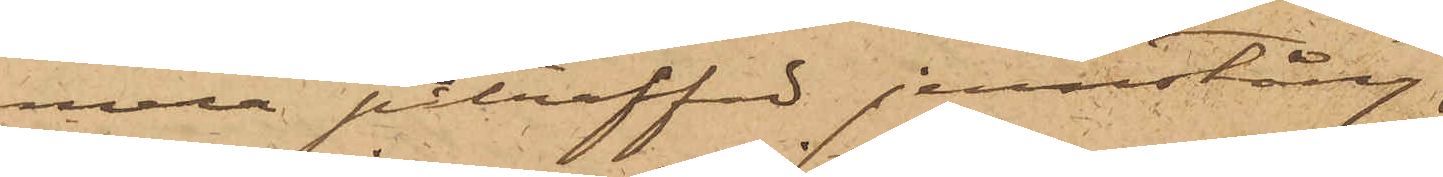mera påträffad jernstång
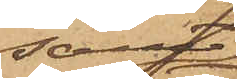samt
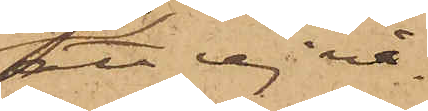att ej nå¬
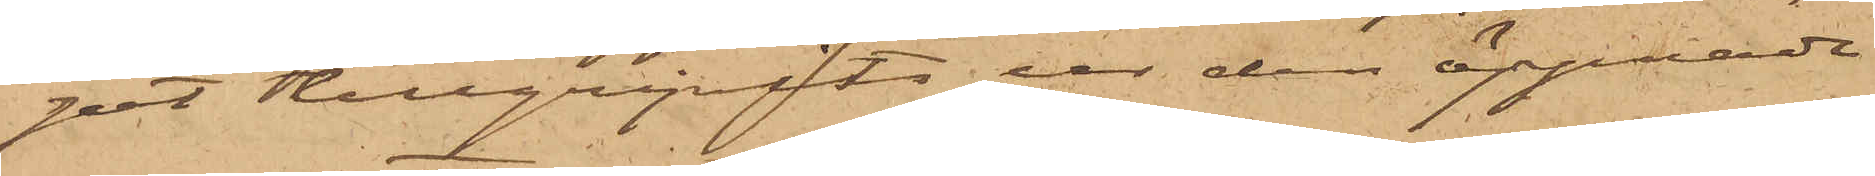got tillgripits ur den öppnade
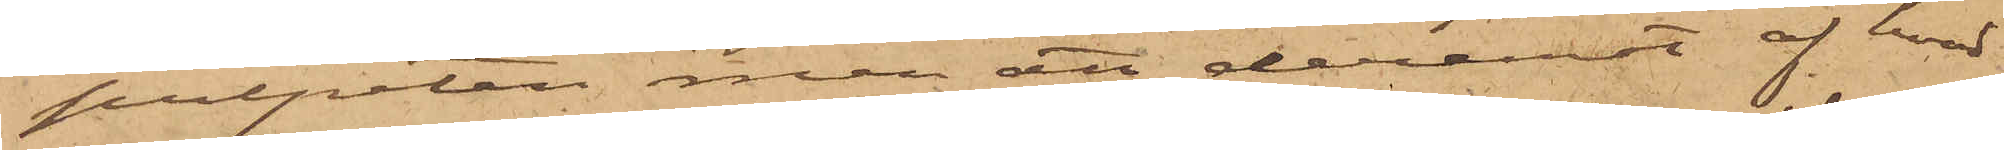pulpeten, men att deremot af hvad
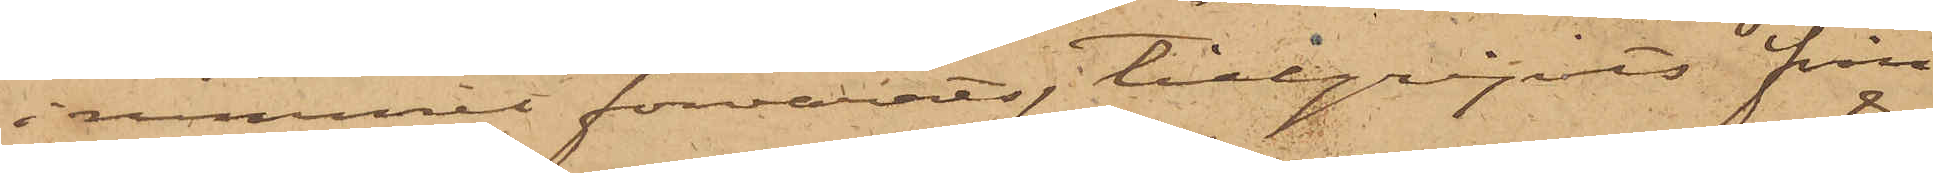i rummet förvarats, tillgripits från
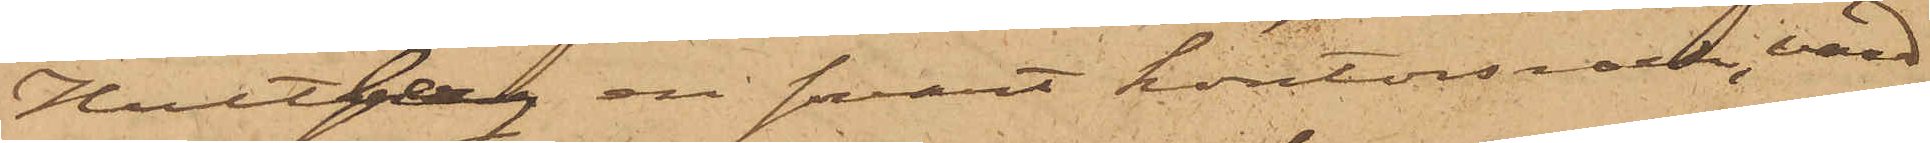Hultberg en svart kontorsrock, värd
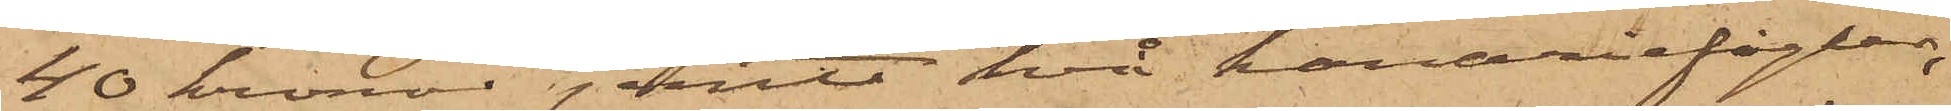40 kronor jemte två kanariefåglar,
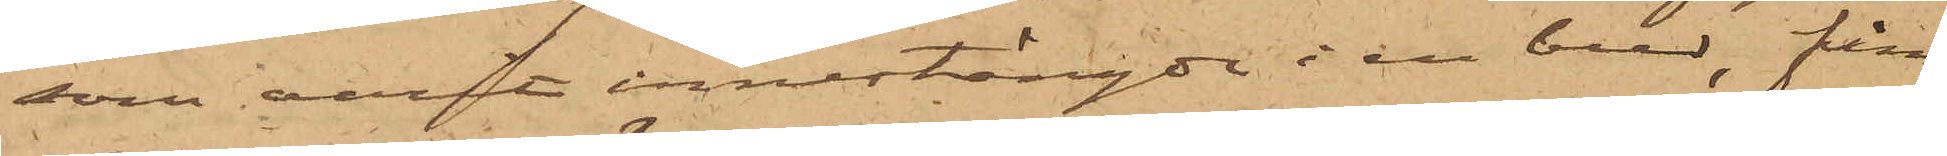som varit innestängde i en bur, från
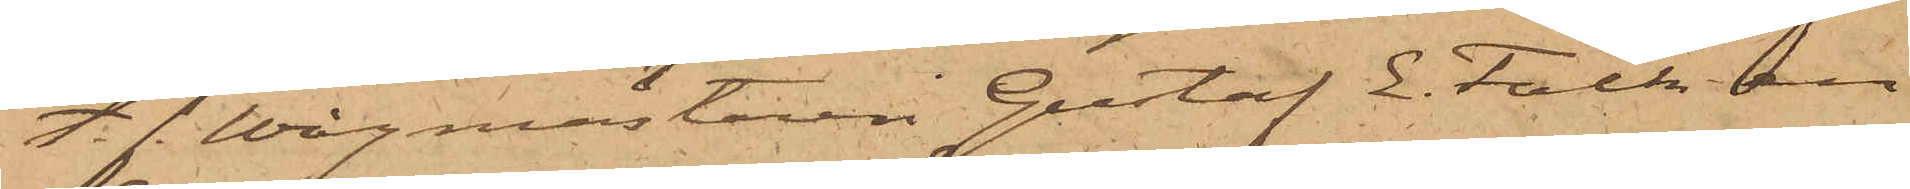t. f. Wågmästaren Gustaf E. Falk en
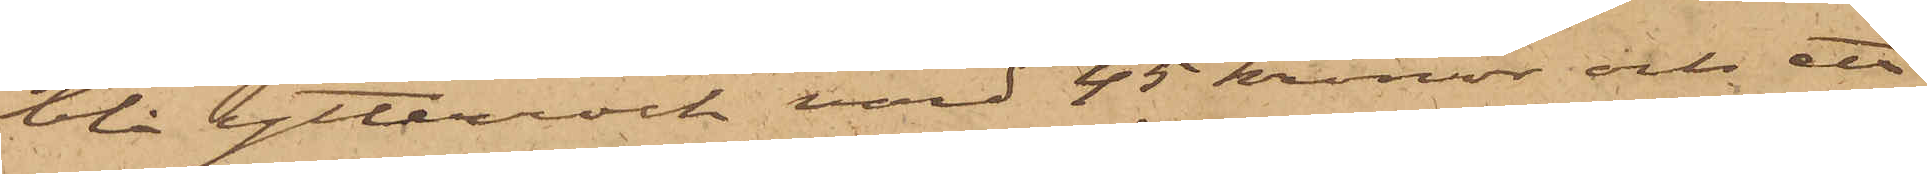blå ytterrock värd 45 kronor och ett
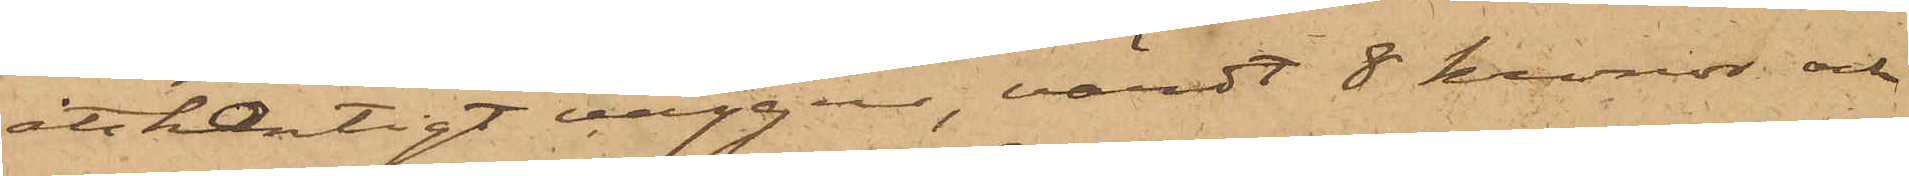åttkantigt väggur, värdt 8 kronor och
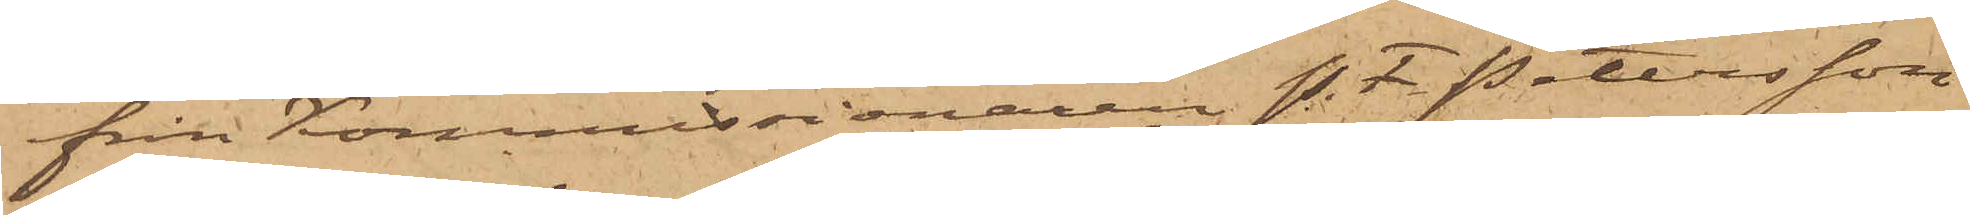från Kommissionären P. F Petersson
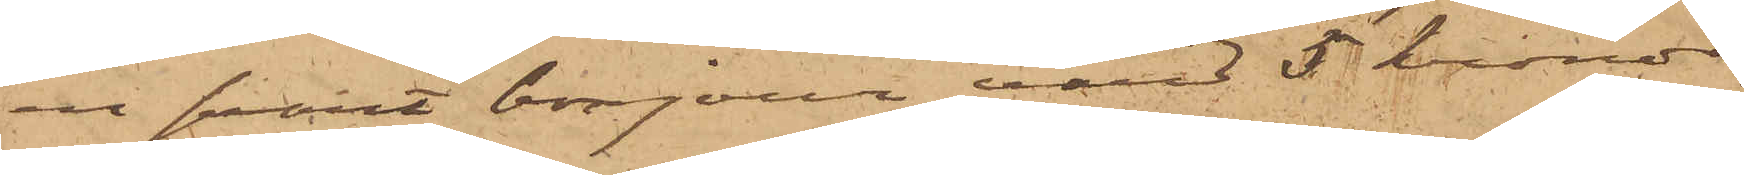en svart bonjour värd 5 kronor.
